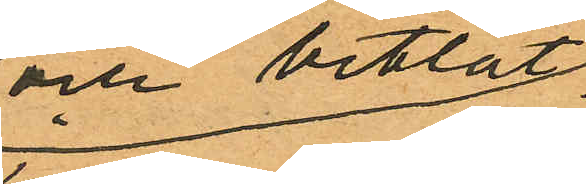och betlat
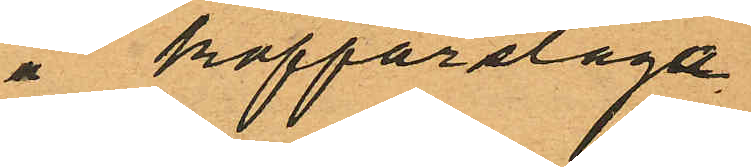å kopparslaga¬
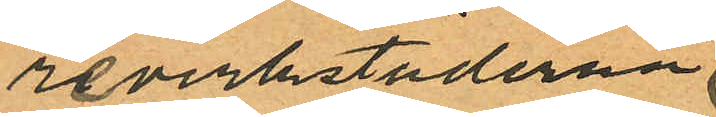reverkstäderna
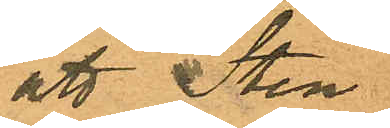att Sten¬
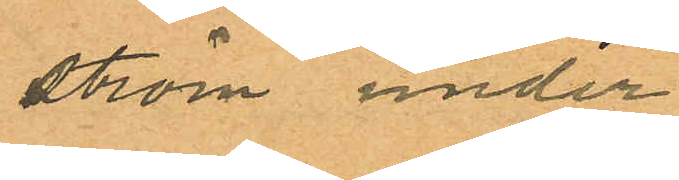ström under
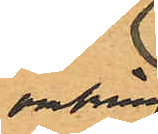omkring
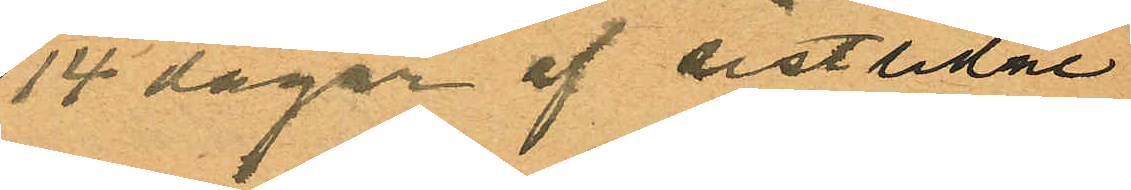14 dagar af sistlidne
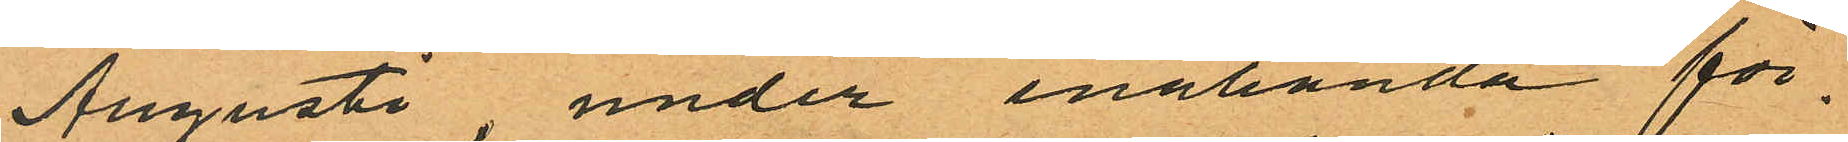Augusti, under enahanda för¬
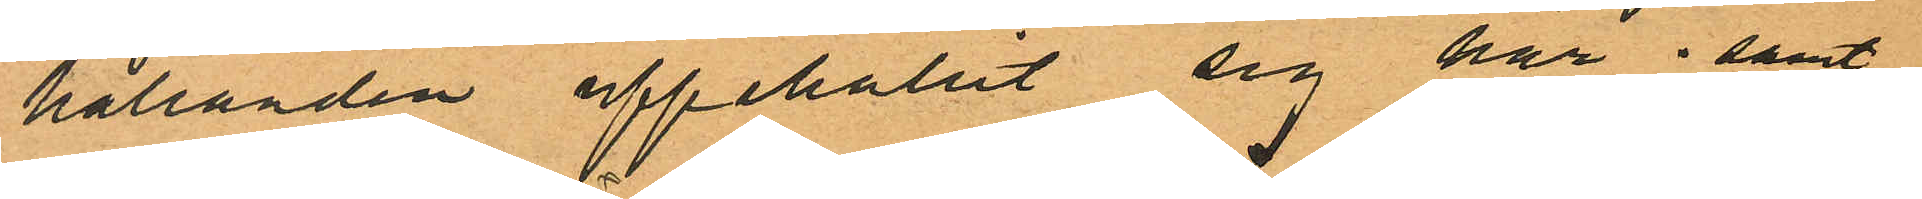hållanden uppehållit sig här; samt
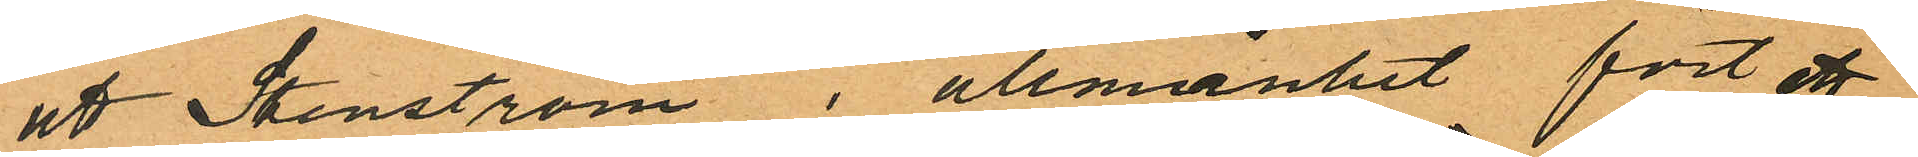att Stenström i allmänhet fört ett
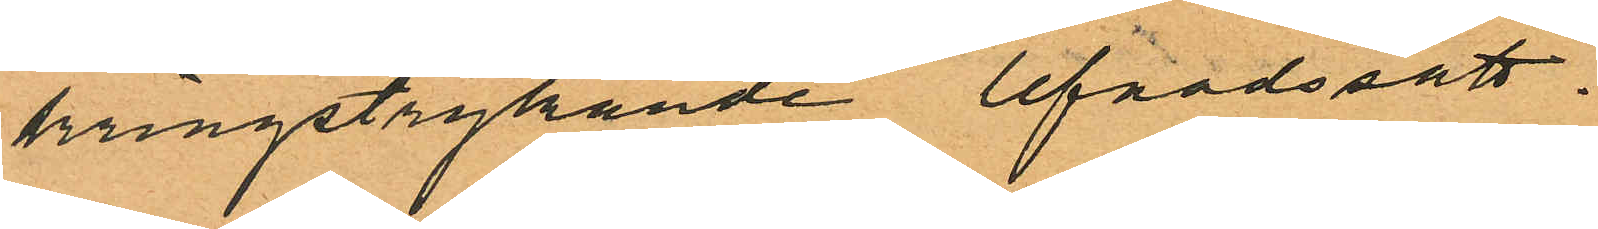kringstrykande lefnadssätt.
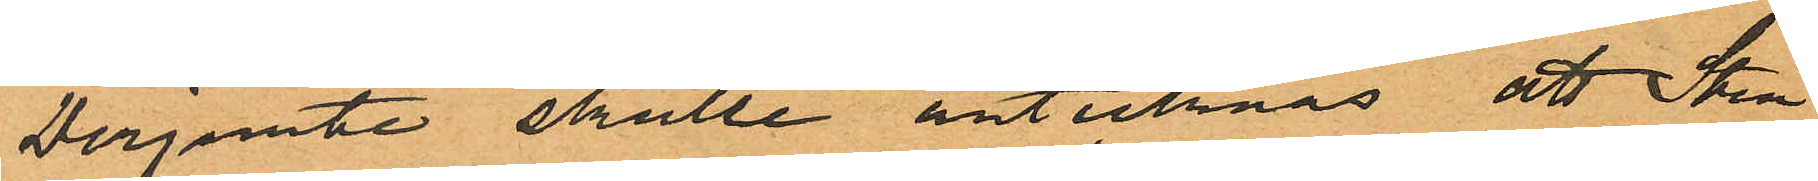Derjemte skulle antecknas att Sten
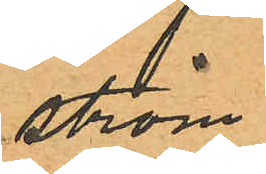ström
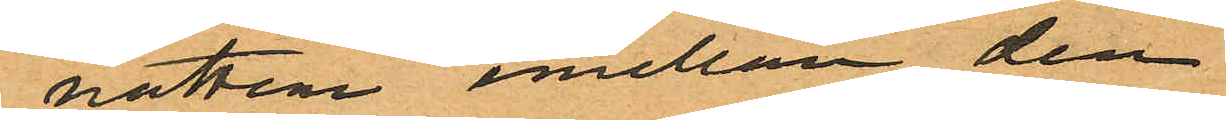natten emellan den
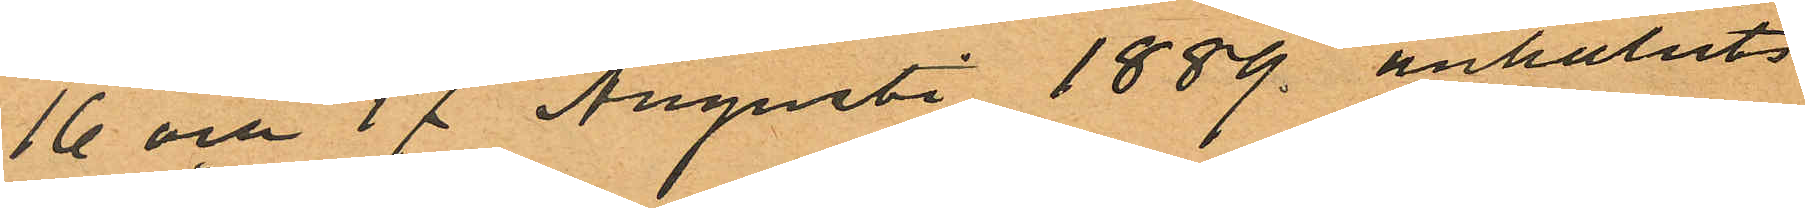16 och 17 Augusti 1889 anhållits
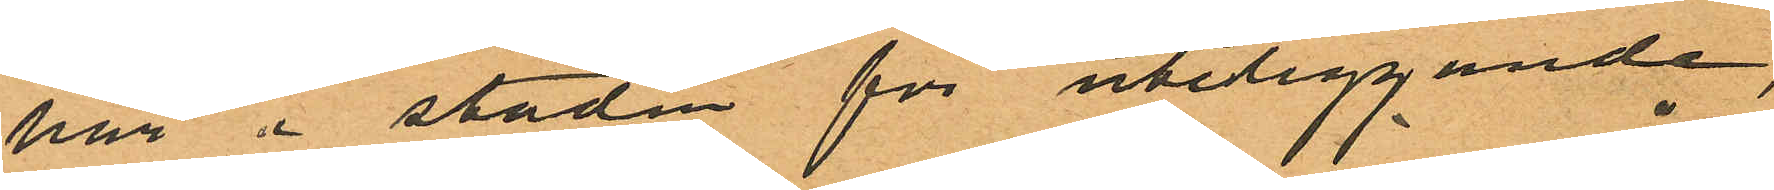här i staden för uteliggande,
